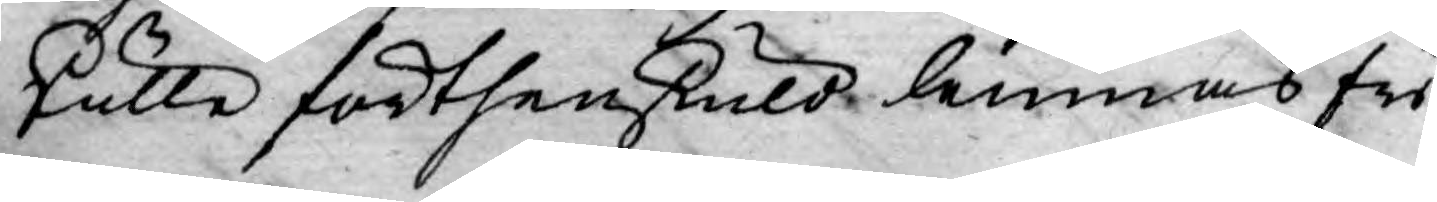skulle förthenskuld lemnas fri
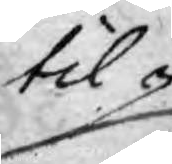til¬
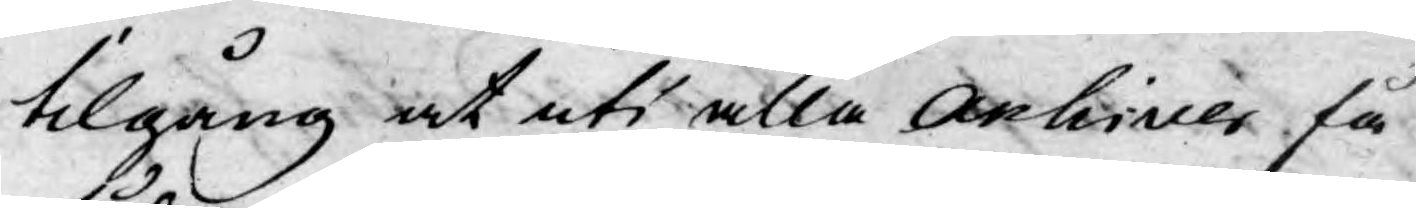tilgång at uti alla Archiver få
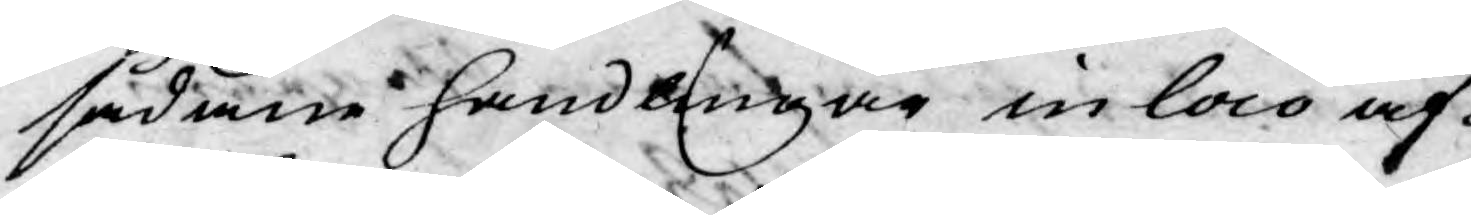sådane handlingar in loco af¬
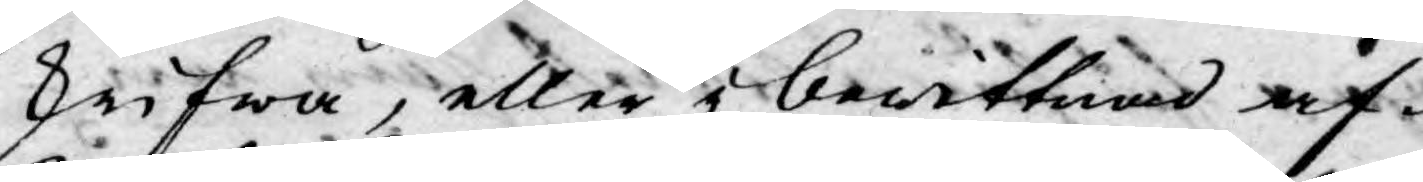skrifwa, eller i bewittnad af¬
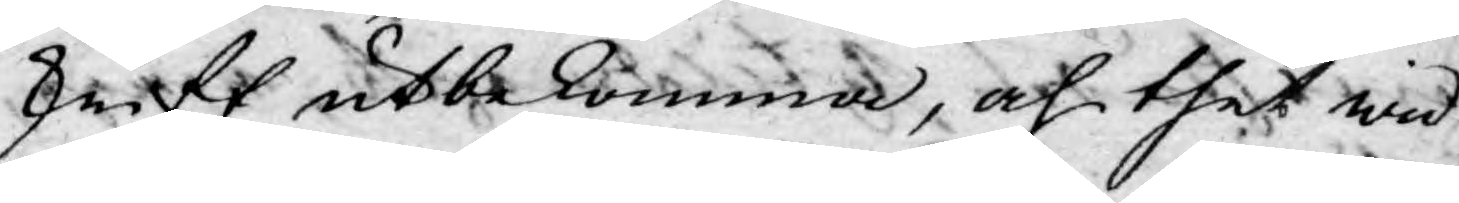skrift utbekomma, af thet wid
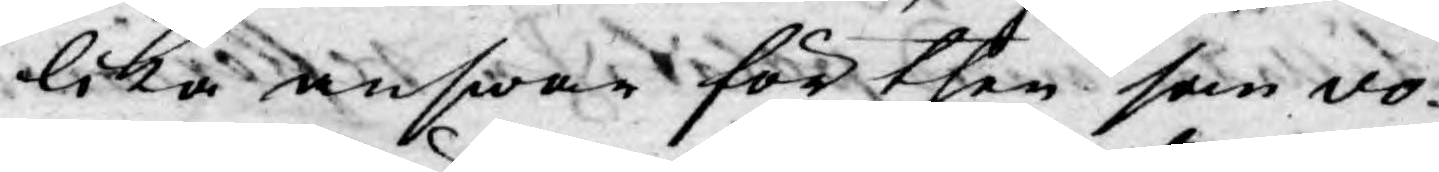lika answar för then som vo¬
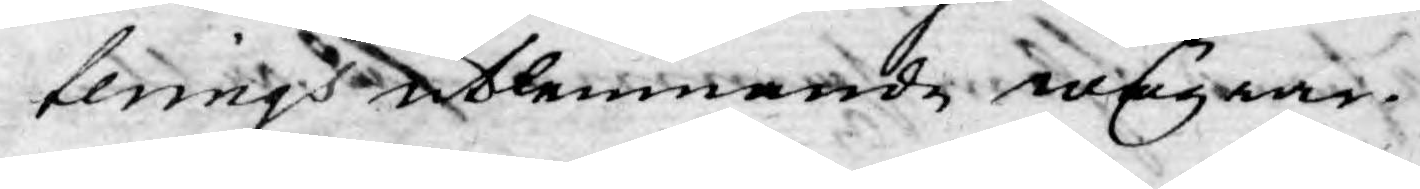terings utlemnande wägrar.
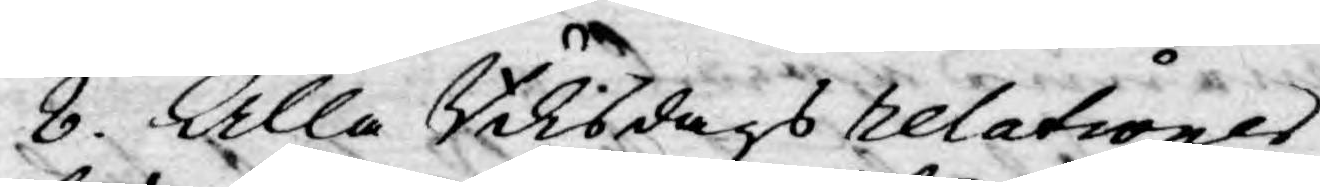8. Alla Riksdags relationer
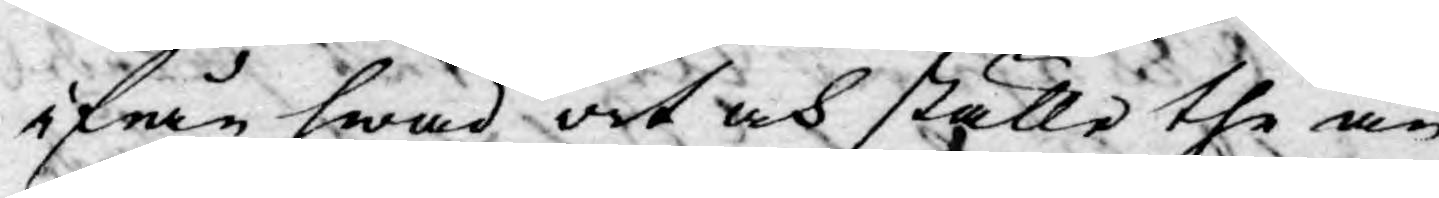ifrån hwad ort och ställe the än
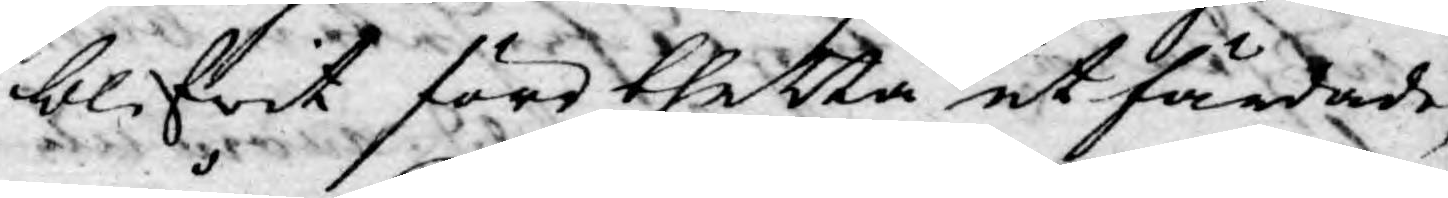blifwit före thetta utfärdade,
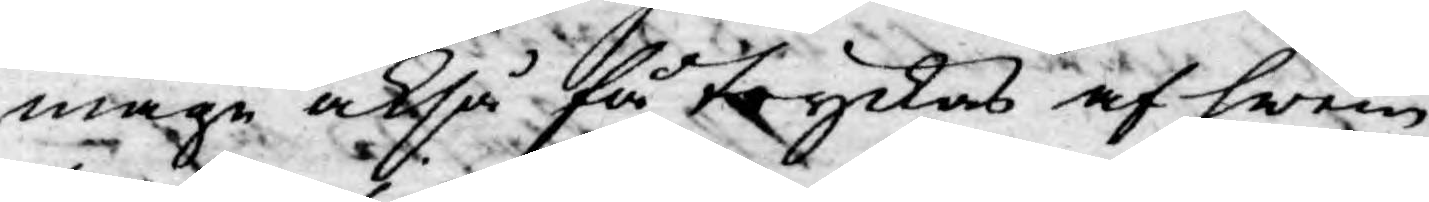måge också få tryckas af hwem
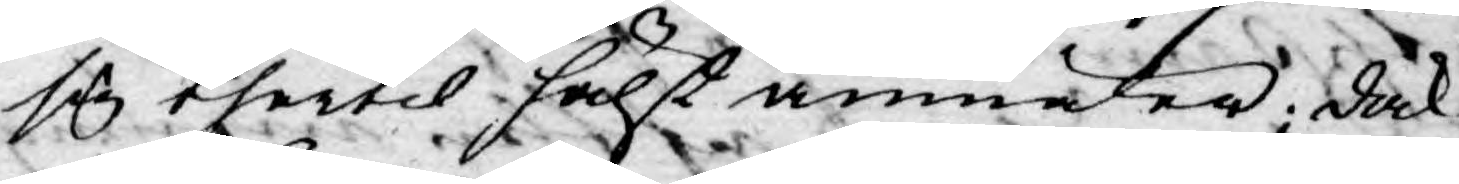sig thertil hälst anmäler; dock
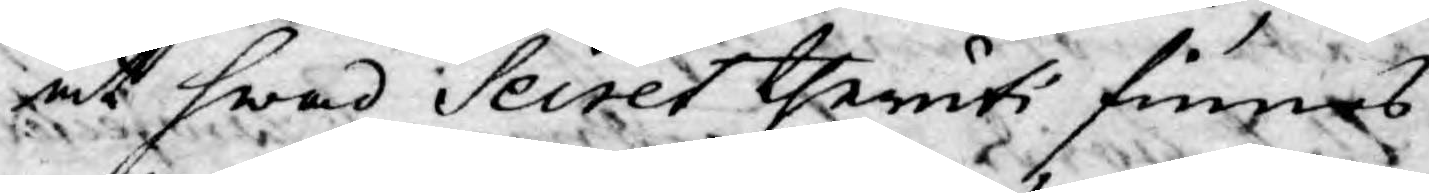at hwad Secret theruti finnes
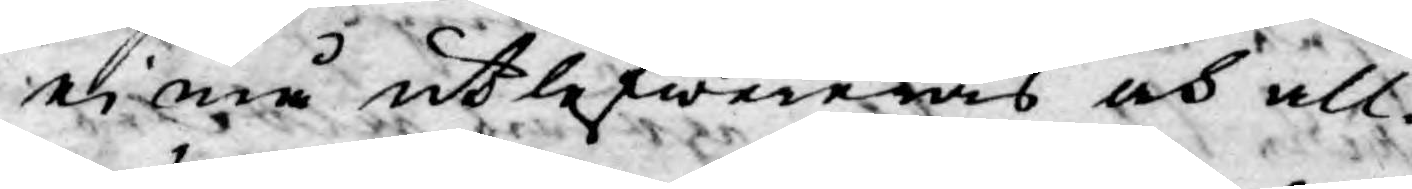ej må utlefwereras och all¬
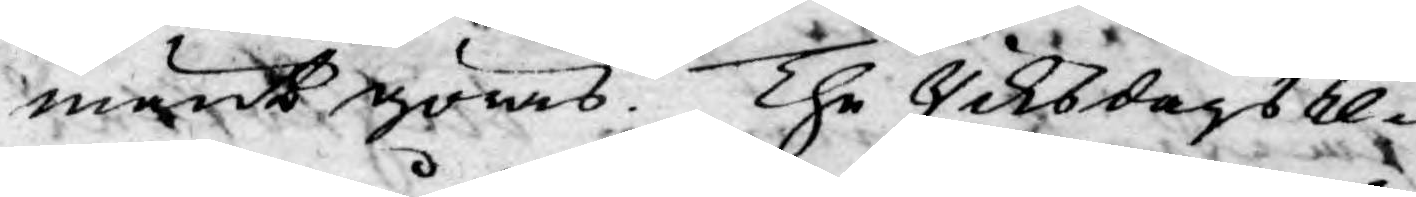mänt göras. The Riksdags re¬
